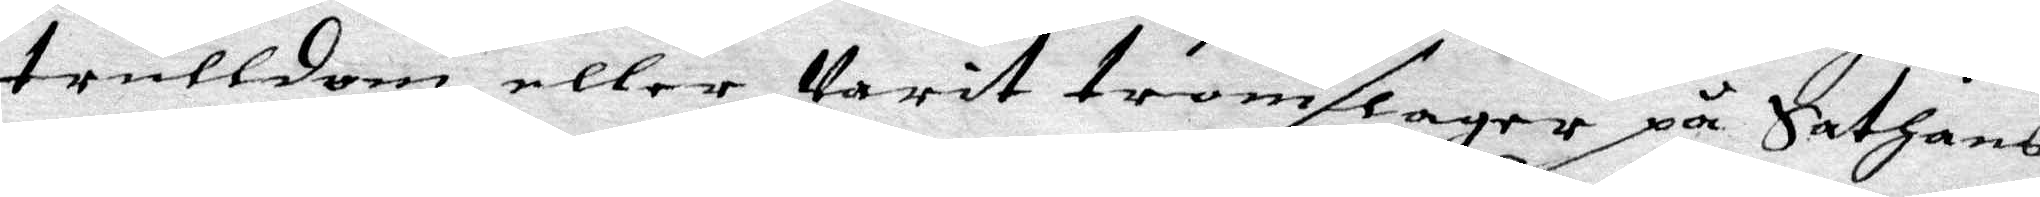trulldom eller Varit tromslager på Sathans
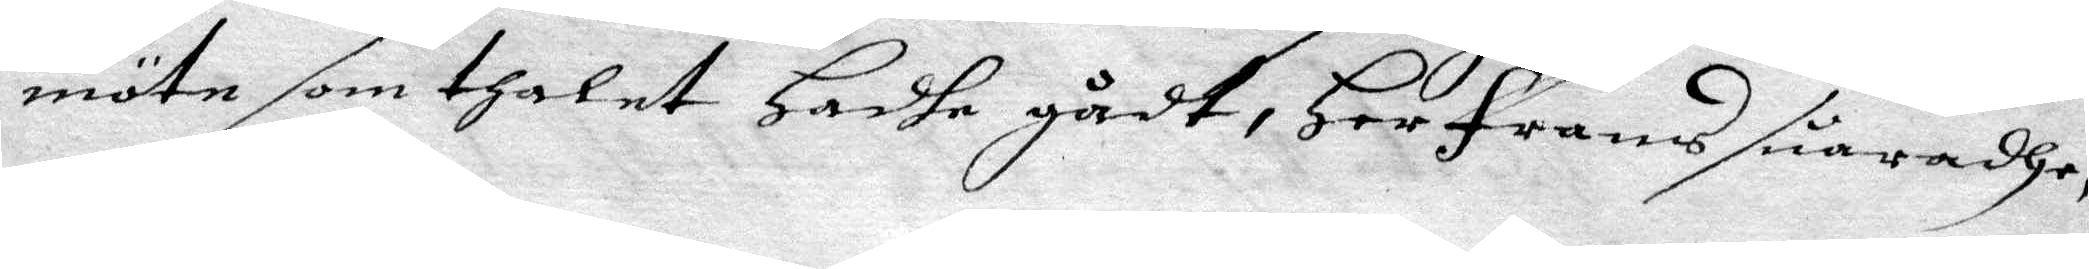möte som thalet Hadhe gådt, Her frans suaradhe,
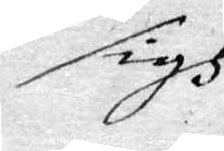sigh
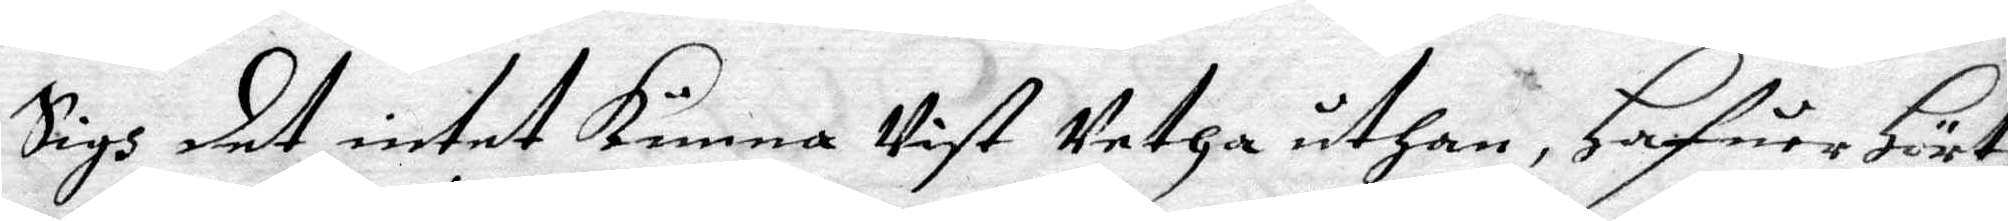Sigh det intet kunna Vist Vetha uthan, Hafuer Hört
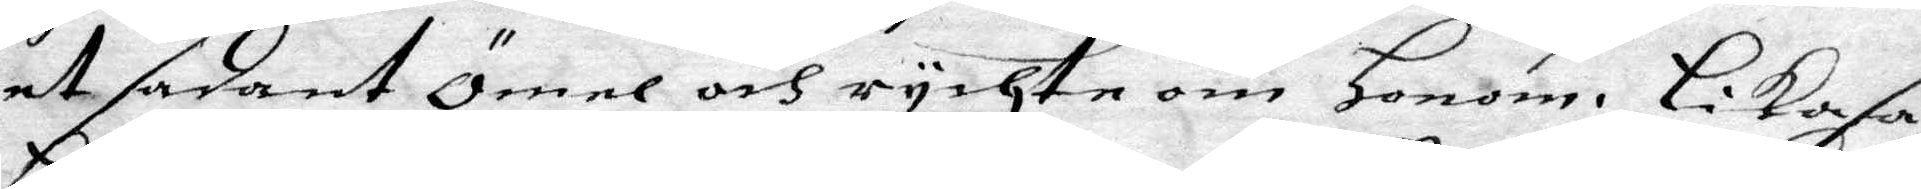et sadant ömel och rychte om Honom. Likaså
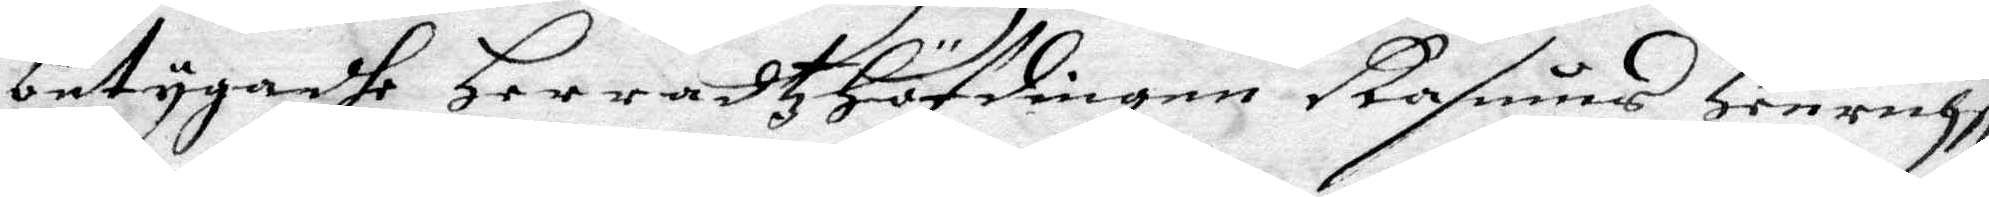betygadhe Herradtz Höfdingen Rasmus Henricht
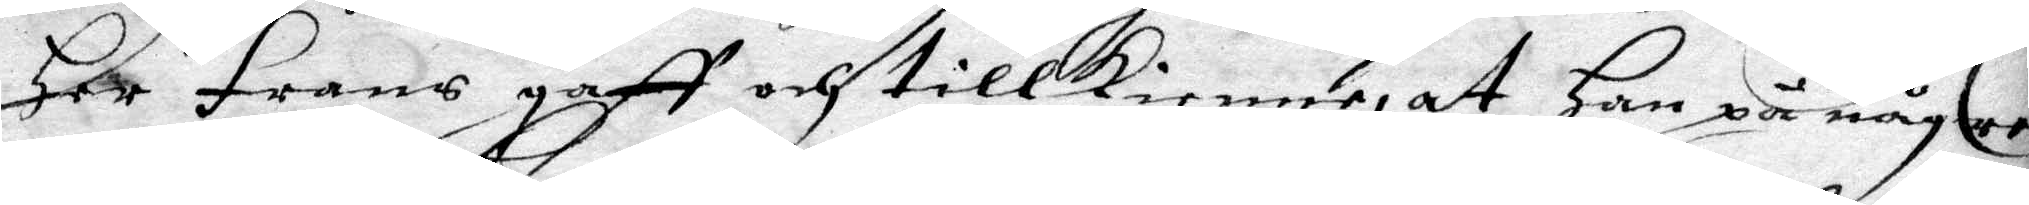Her Frans gaff och tillkienne, at Han på någre
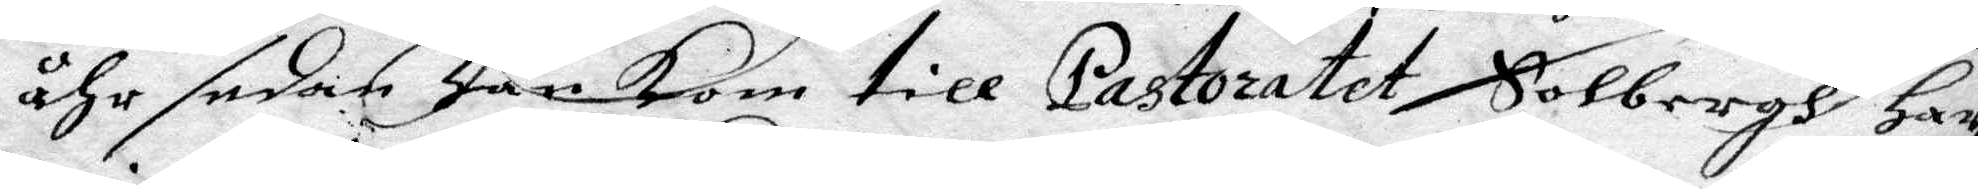åhr sedan Han kom till Pastoratet, Solbergh Har
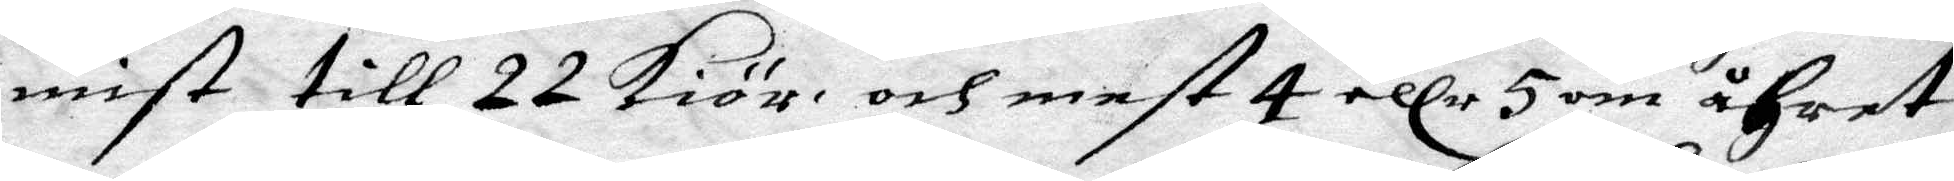mist till 22 kiör, och mest 4 eller 5 om åhret
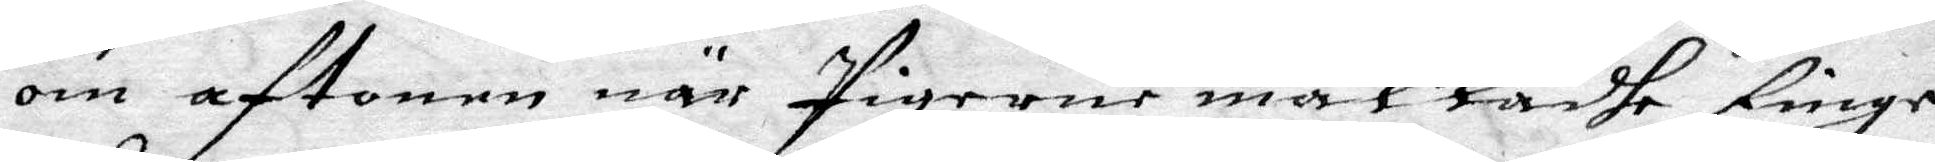om aftonen när Pigerne malkadhe finge
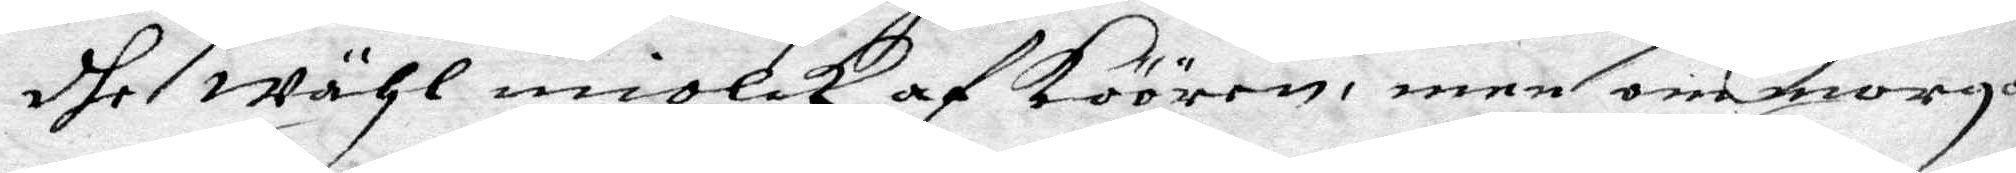dhe wähl miolck af Köören, men om morgo¬
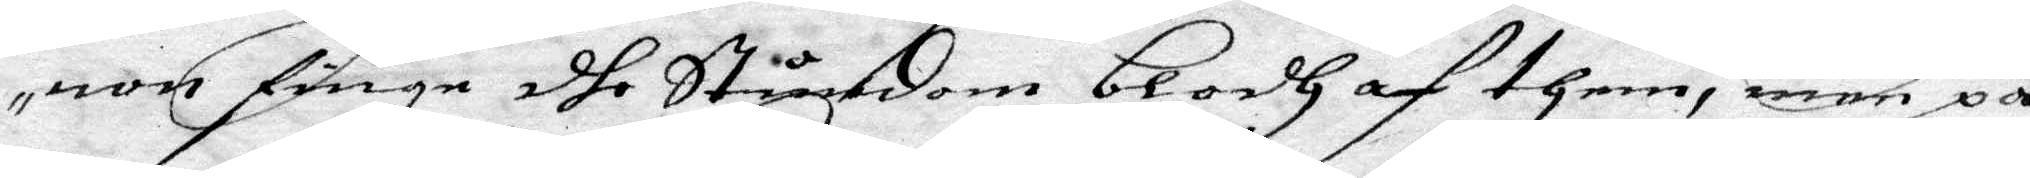non finge dhe Stundom blodh af them, men på
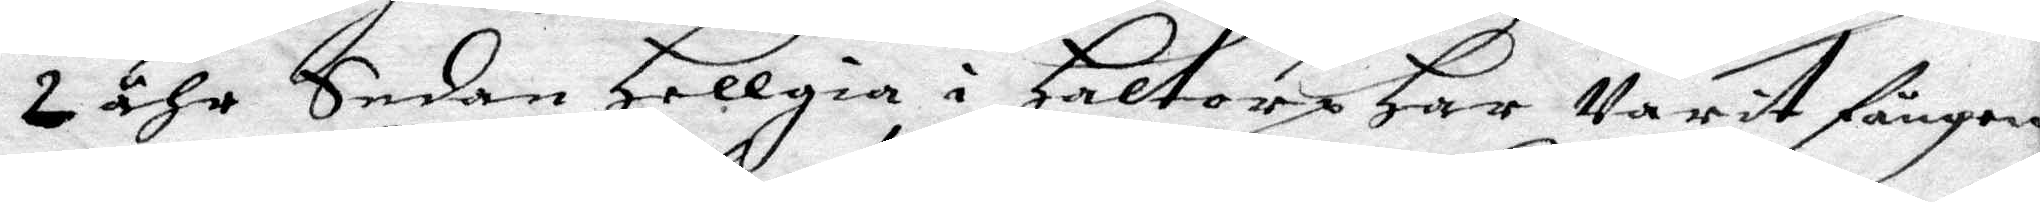2 åhr Sedan Hellgia i Haltore Har Varit fången
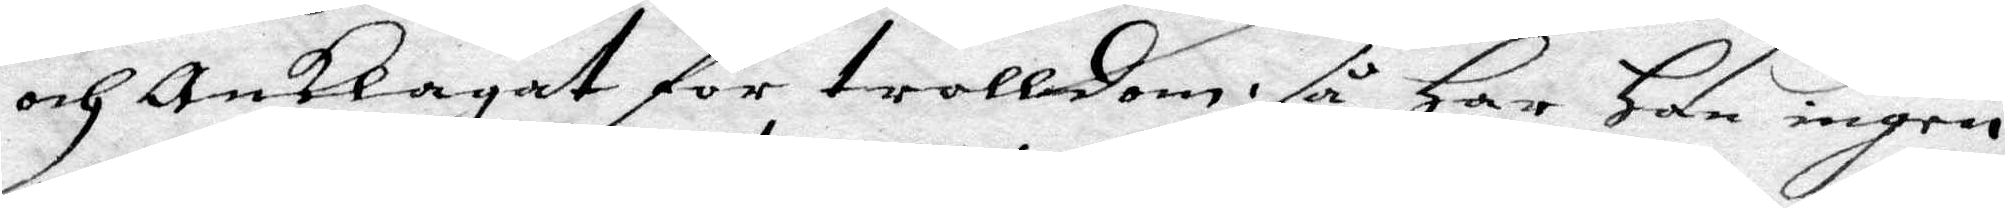och Anklagat for trolldom, så Har Han ingen
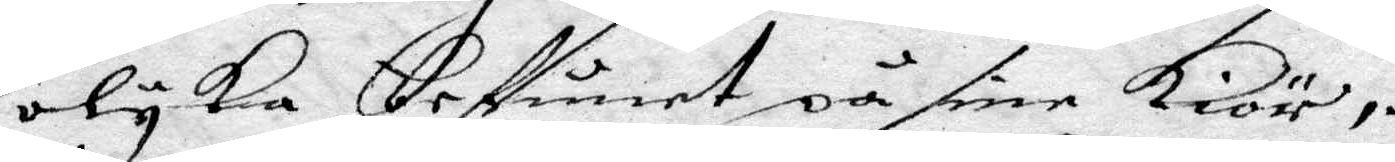olyka befunet på sine kiör,
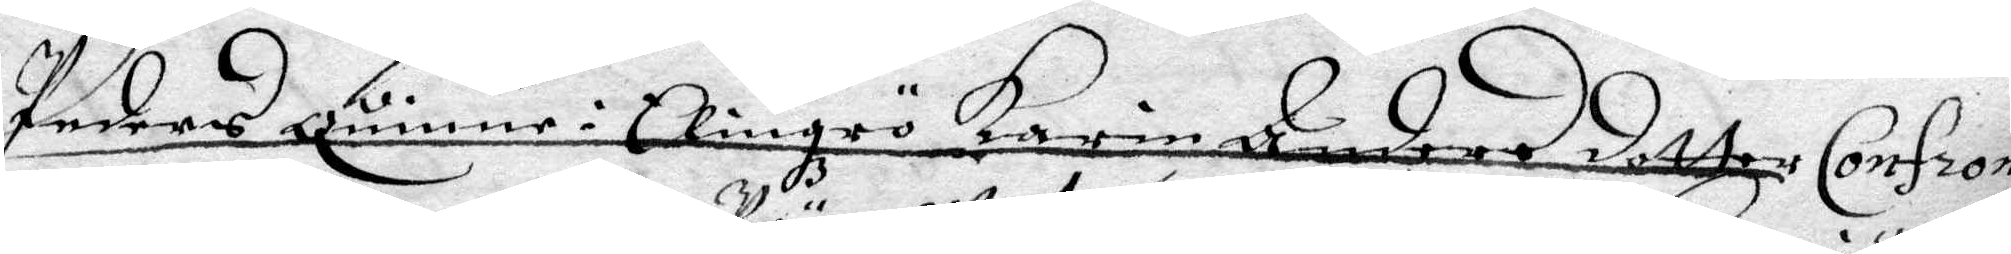Peders quinne i Elingrö Karin Anders dotter Confron¬
